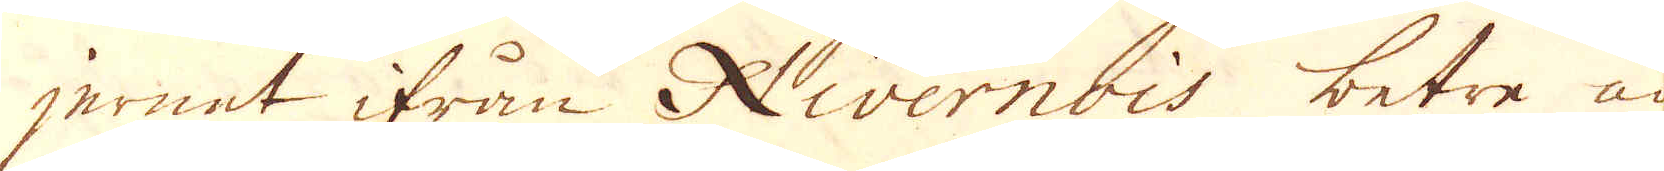jernet ifrån Nivernois betre än
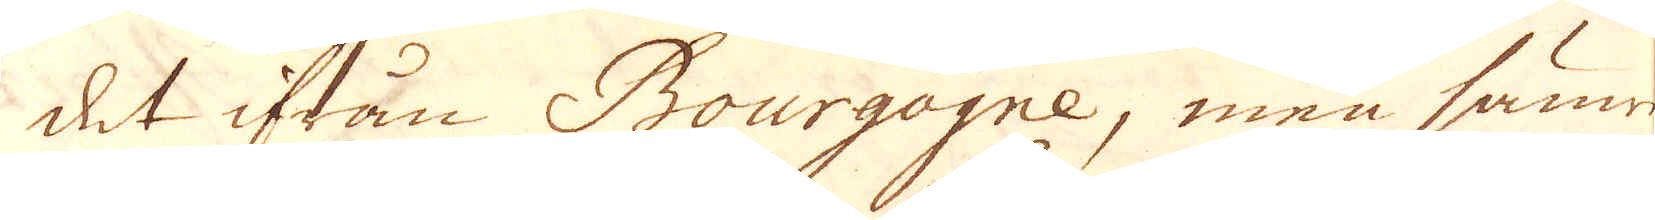det ifrån Bourgogne, men sämre
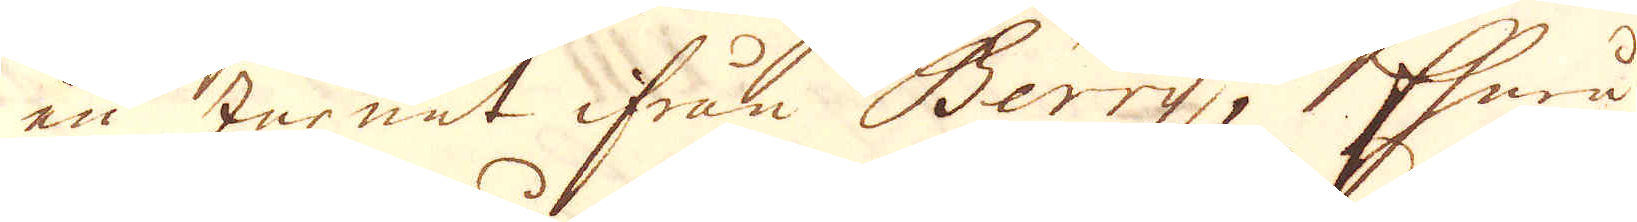än Jernet ifrån Berry; Ehuru
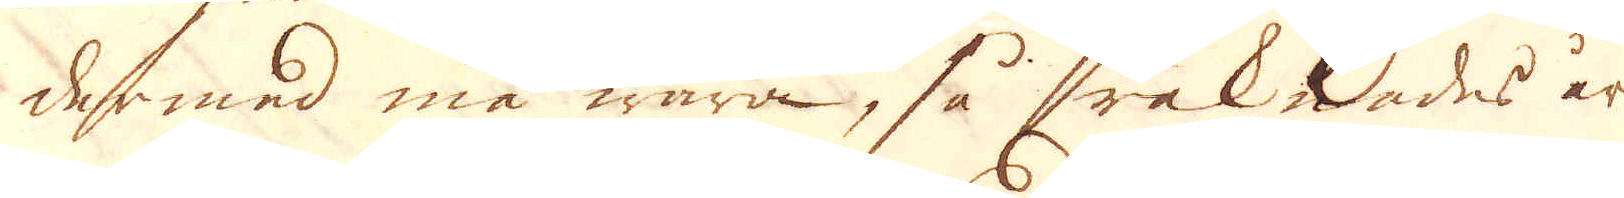dermed må wara, så räknades år
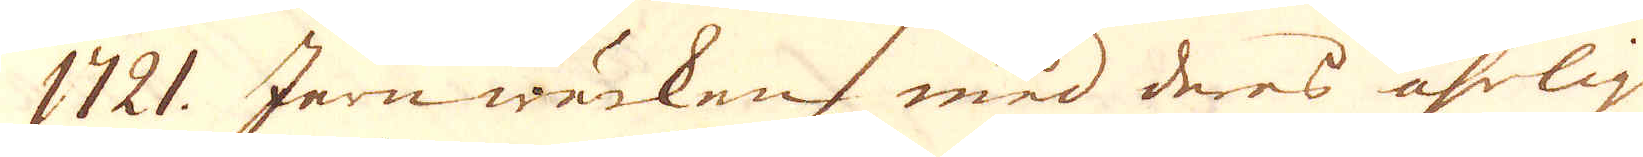1721. Jernwärken med deres åhrlige
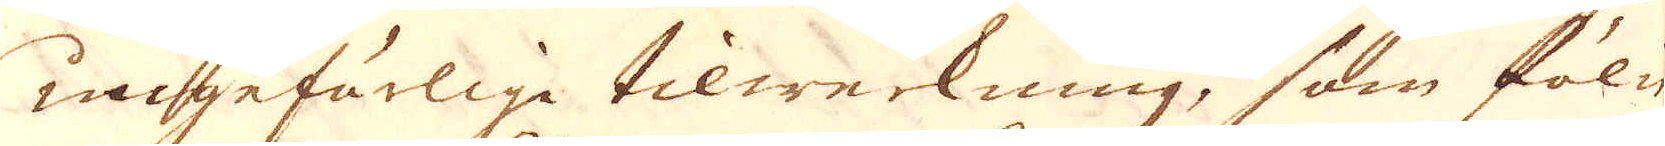ungefärlige tilwerkning, som fölie
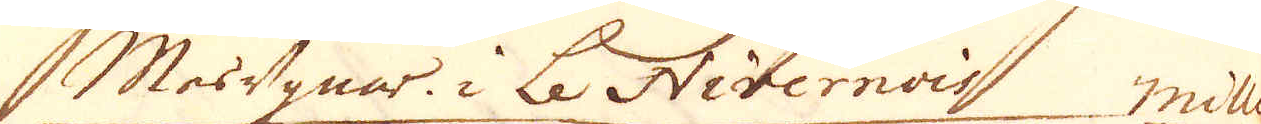Masugnar i Le Nivernois milliers
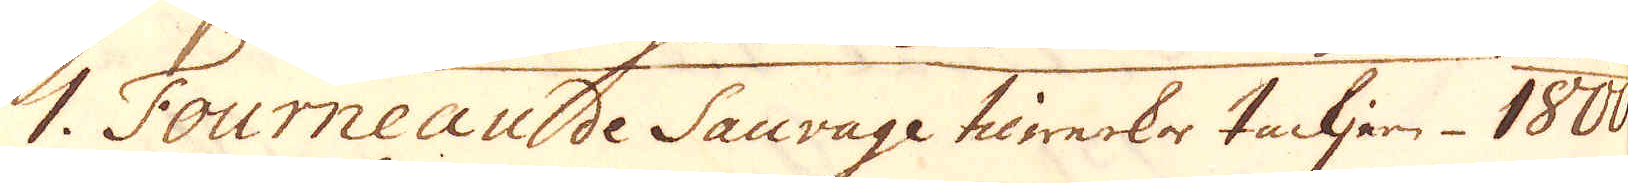1. Fourneau de Sauvage tilwerkar tackjern 1800
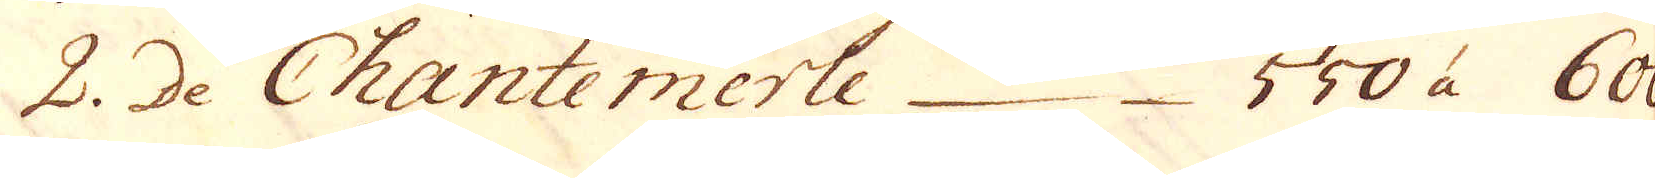2. De Chantemerle 550 à 600
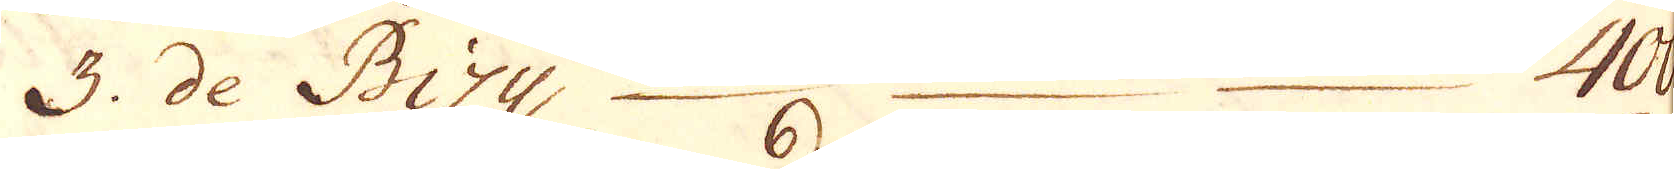3. de Bizy, 400.
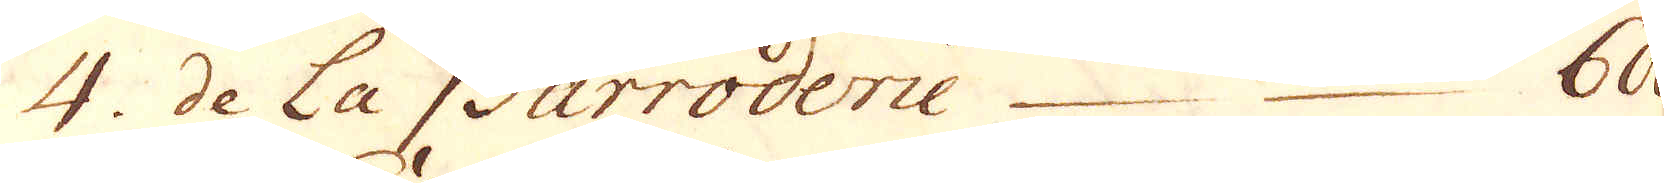4. de La Barroderie 600.
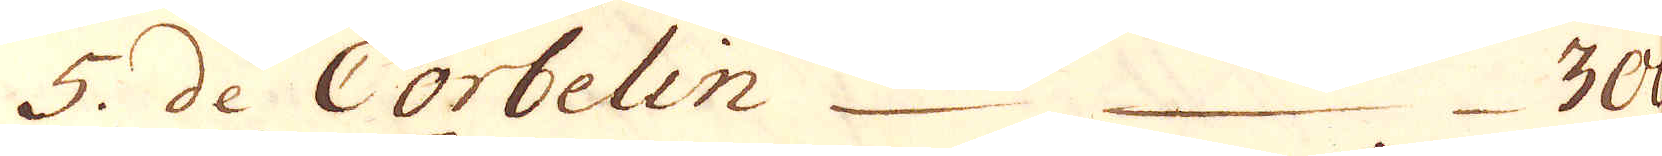5. de Corbelin 300.
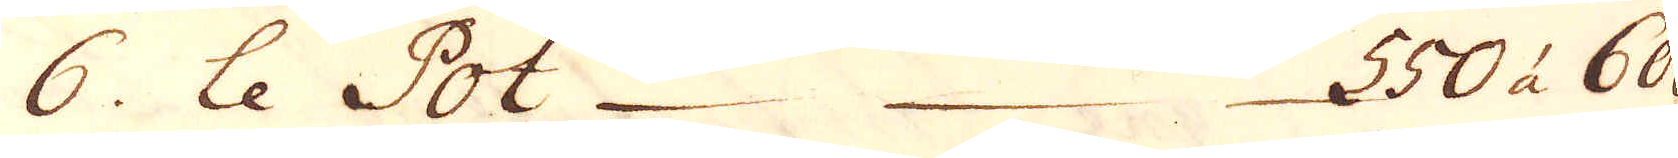6. le Pot 550 à 600
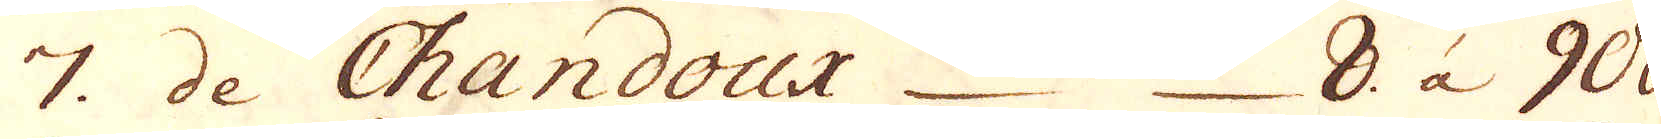7. de Chandoux 8. à 900.
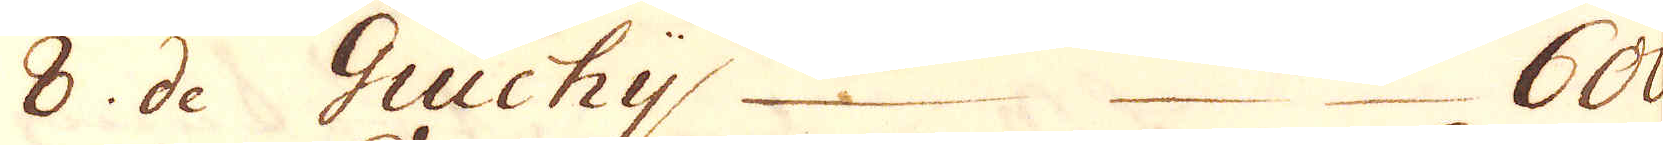8. de Guichy 600.
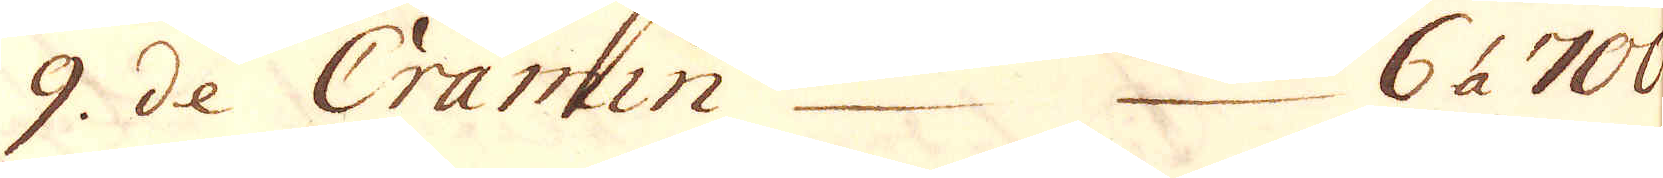9. de Cramin 6 à 700
